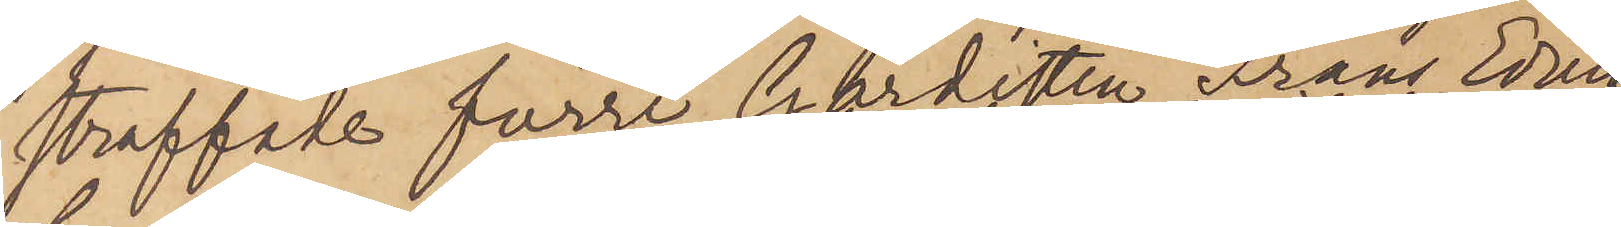straffats förre Gardisten Frans Edvin
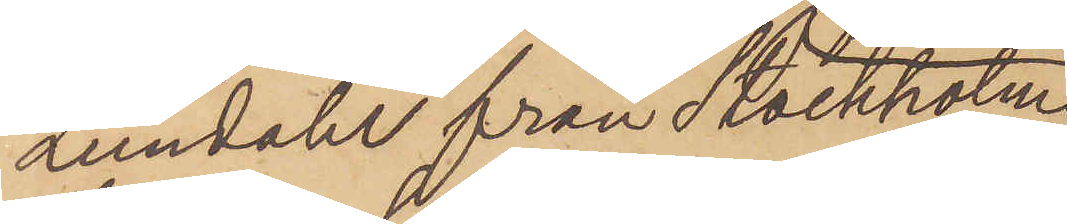Lundahl från Stockholm
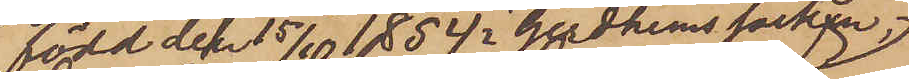född den 15/10 1854 i Gudhems socken,
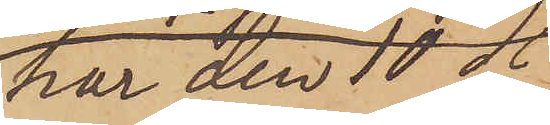har den 10 ds
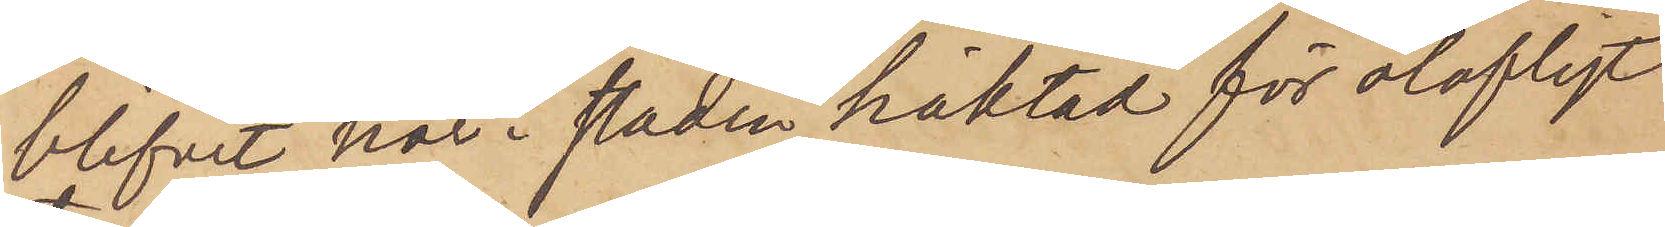blifvit här i staden häktad för olofligt
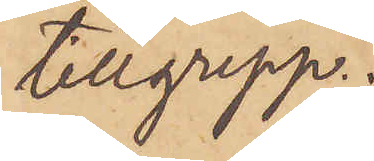tillgrepp.
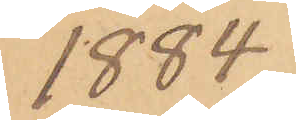1884.
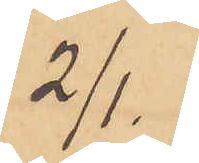2/1.
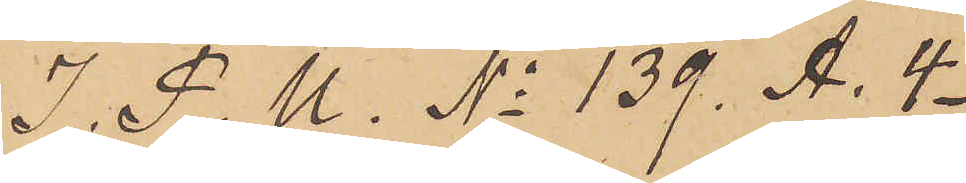I P. U. No 139. A. 4.
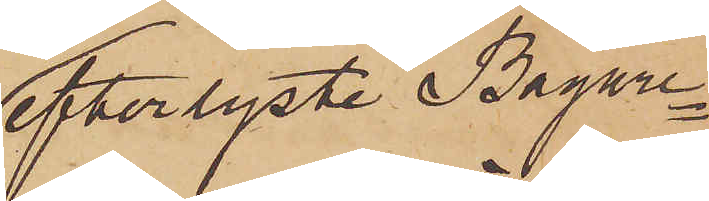efterlyste Bagare¬
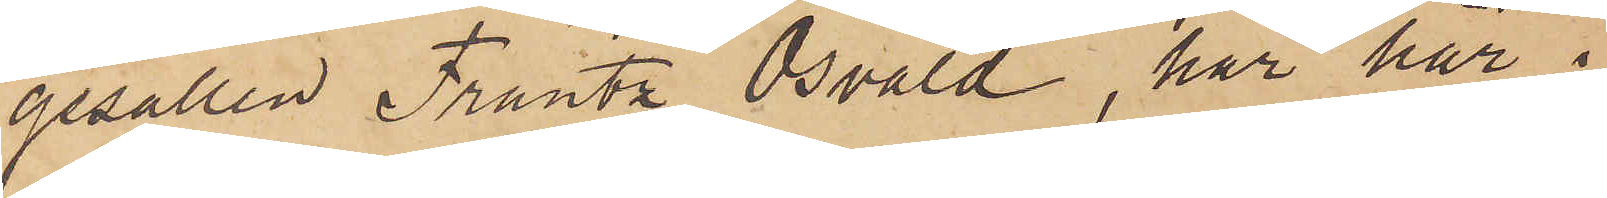gesällen Frantz Osvald, har här i
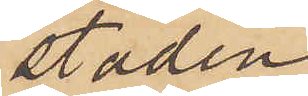staden
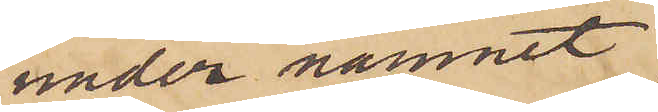under namnet
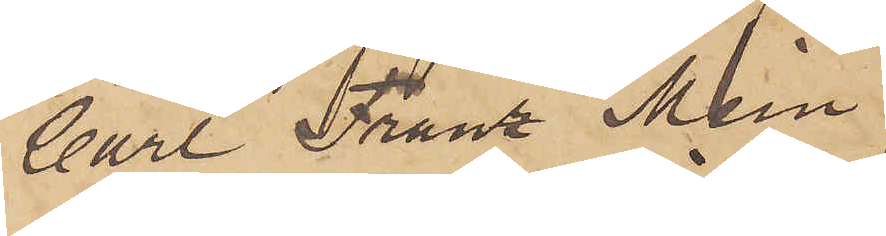Carl Frans Mein
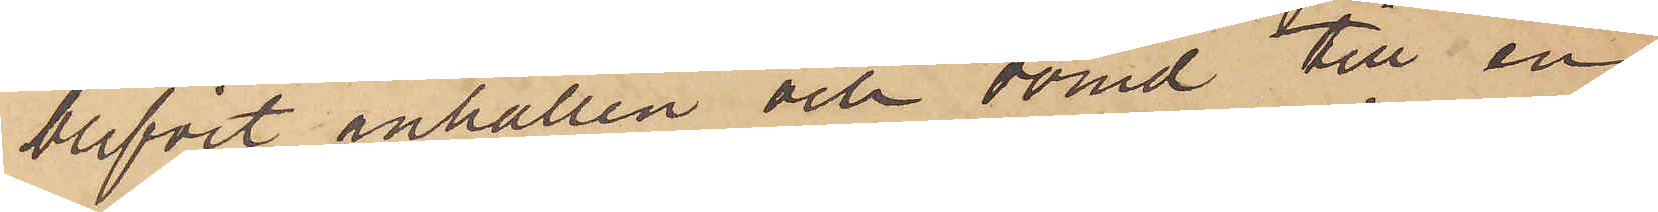blifvit anhållen och dömd till en
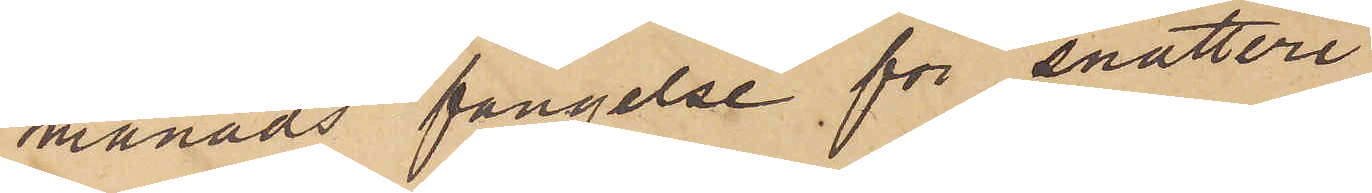månads fängelse för snatteri
